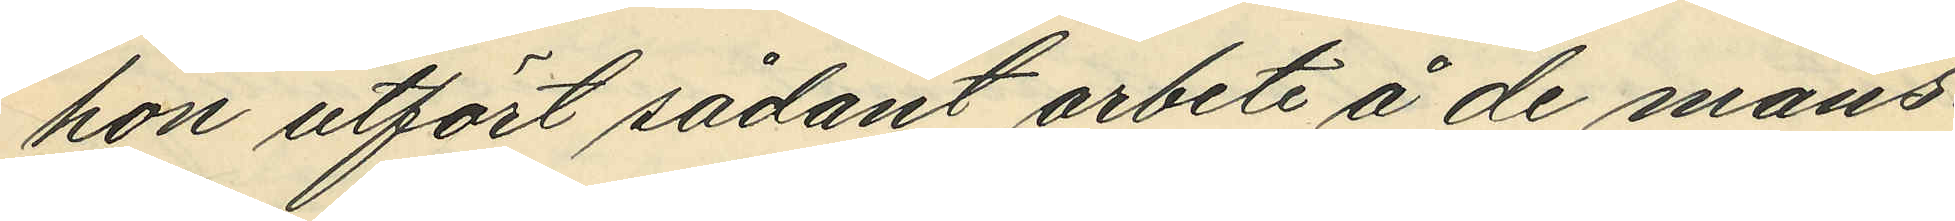hon utfört sådant arbete å de mans¬
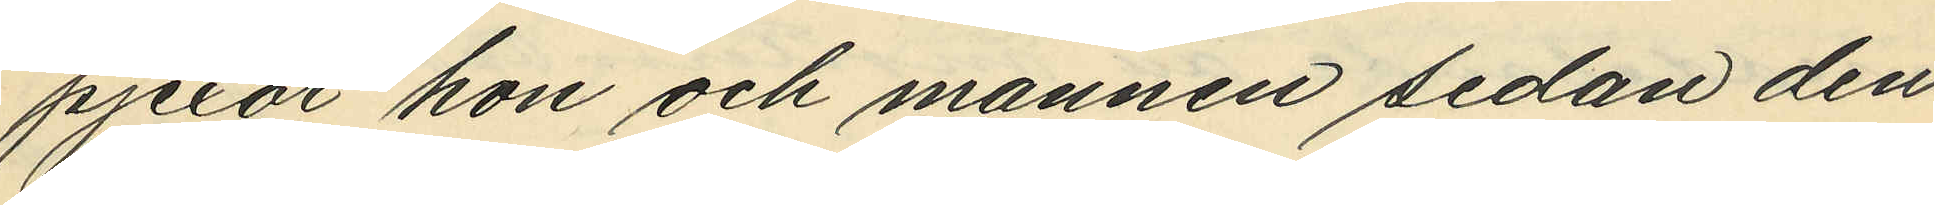pjexor hon och mannen sedan den
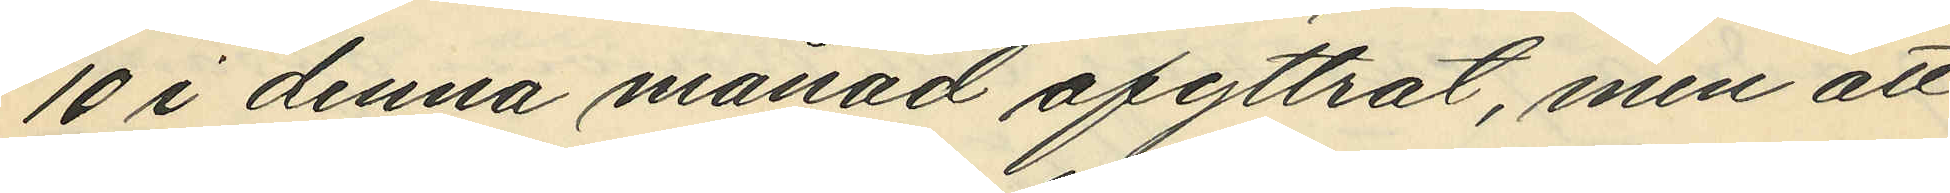10 i denna månad afyttrat, men att
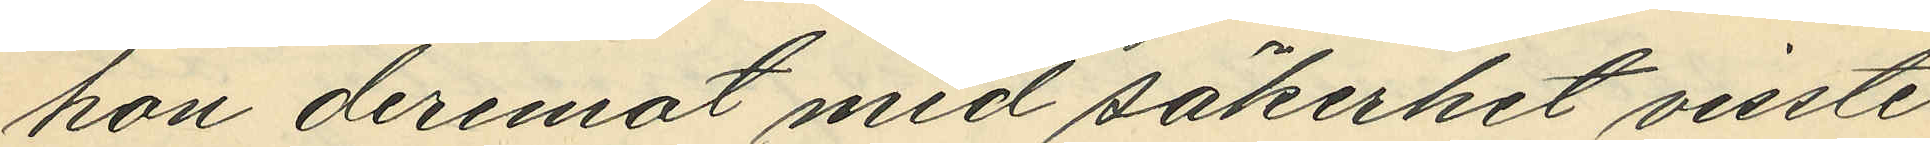hon deremot med säkerhet visste
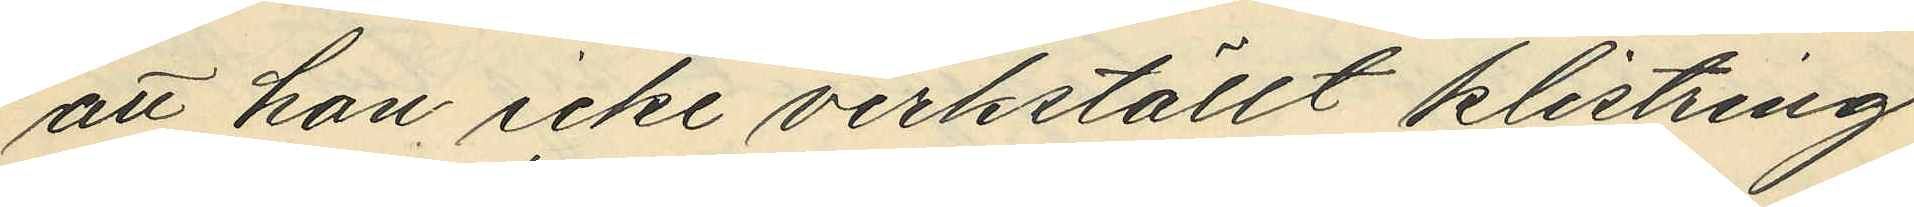att hon icke verkställt klistring
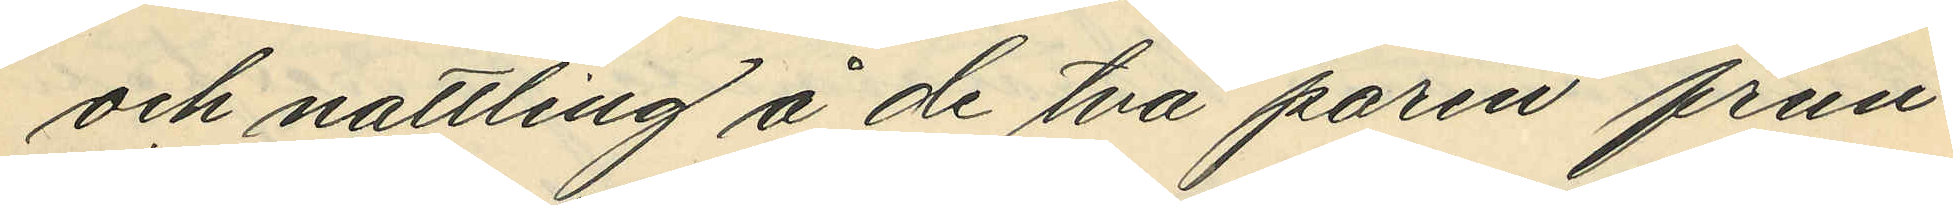och nattling i de två paren frun¬
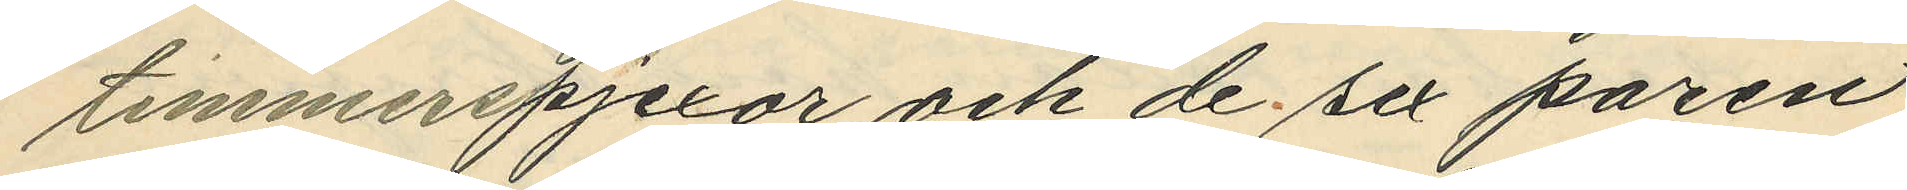timmerspjexor och de sex paren
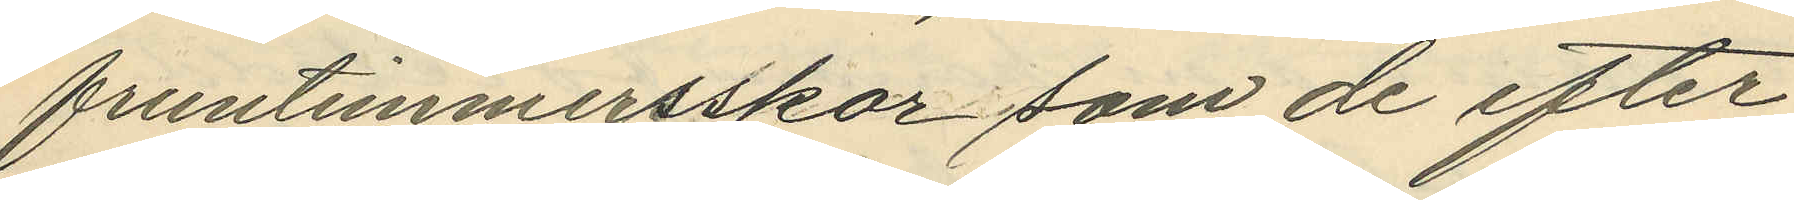frumtimmersskor som de efter
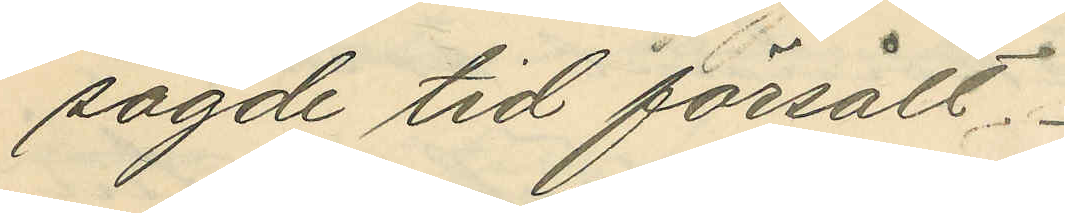sagde tid försålt.
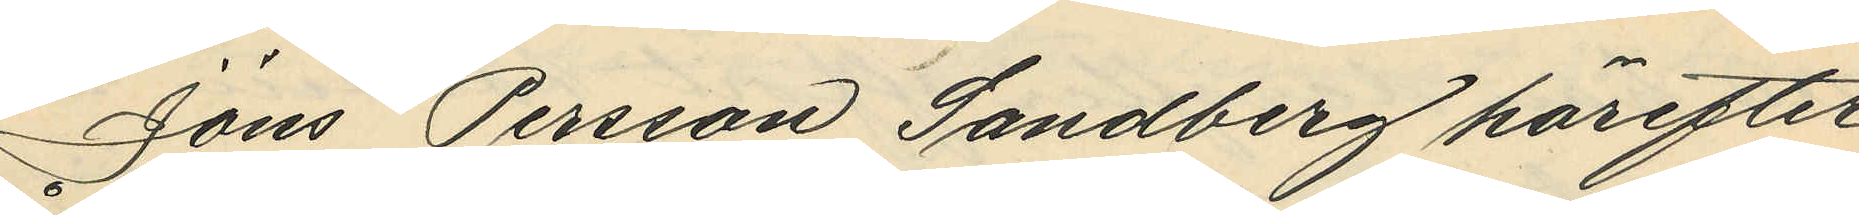Jöns Persson Sandberg härefter
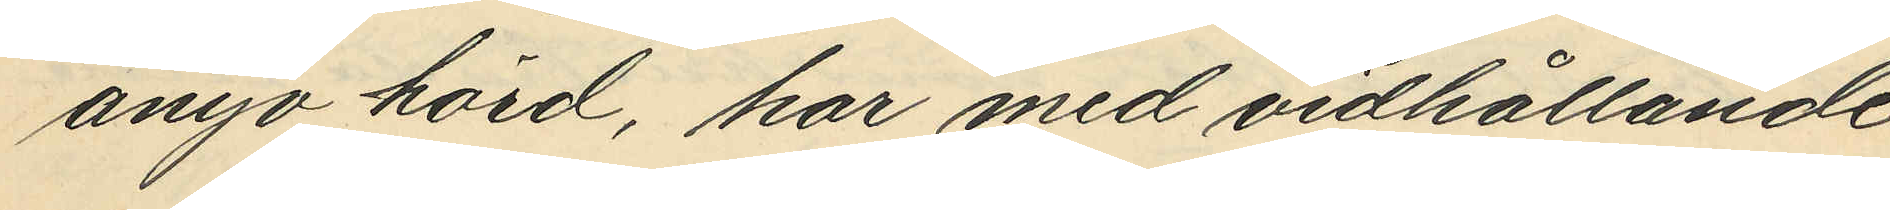ånyo hörd, har med vidhållande
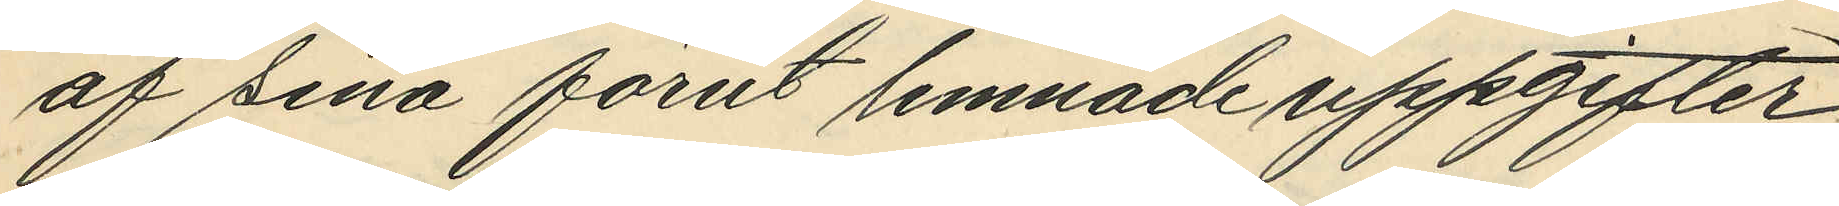af sina förut lemnade uppgifter
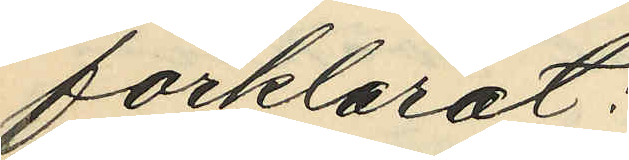förklarat:
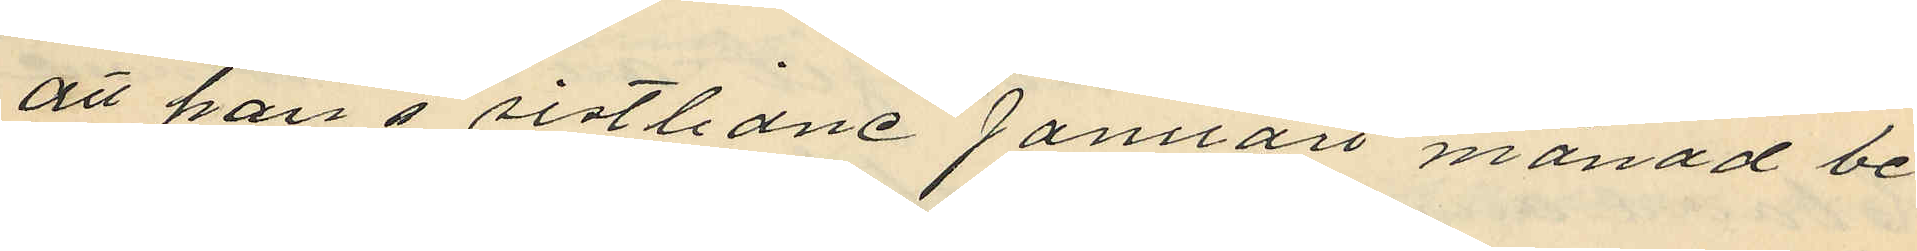att han i sistlidne Januarit månad be¬
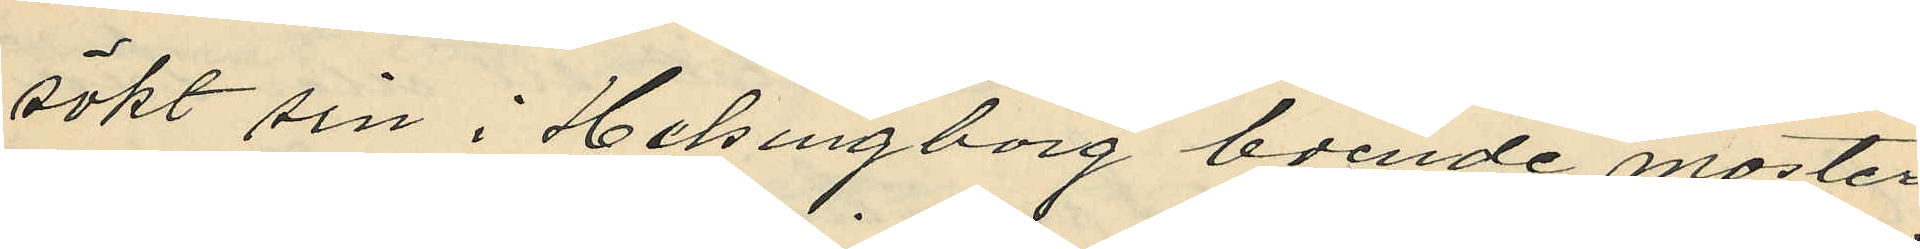sökt sin i Helsingborg boende moster
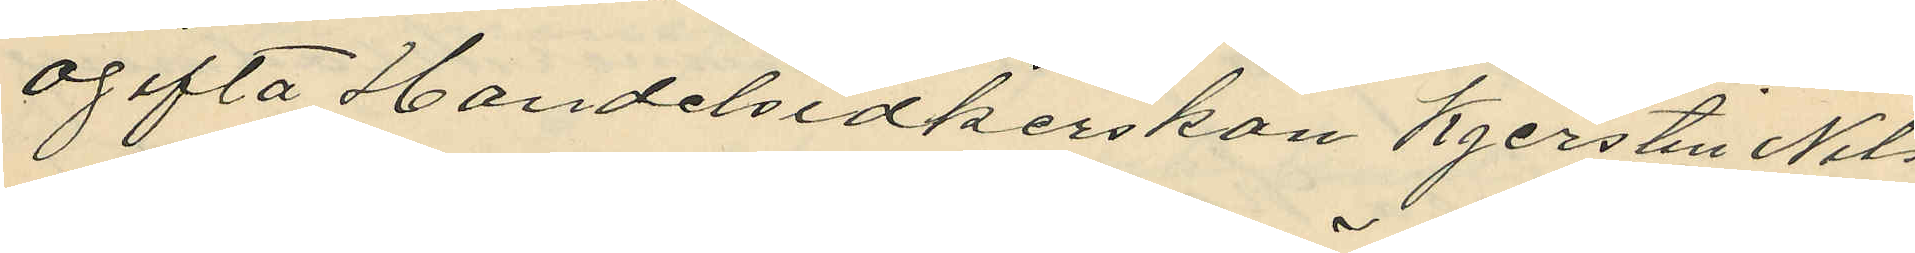ogifta Handelsidkerskan Kjerstin Nils¬
